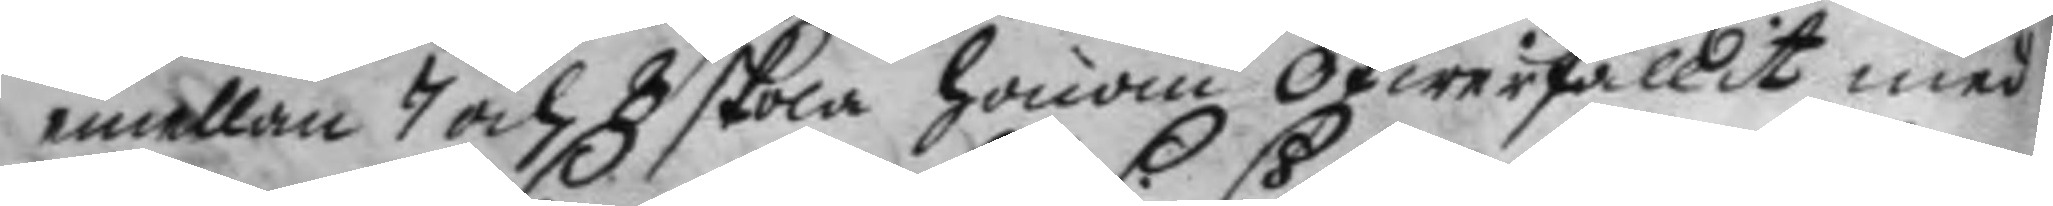mellan 7 och 8 skola honom öfwerfallit med
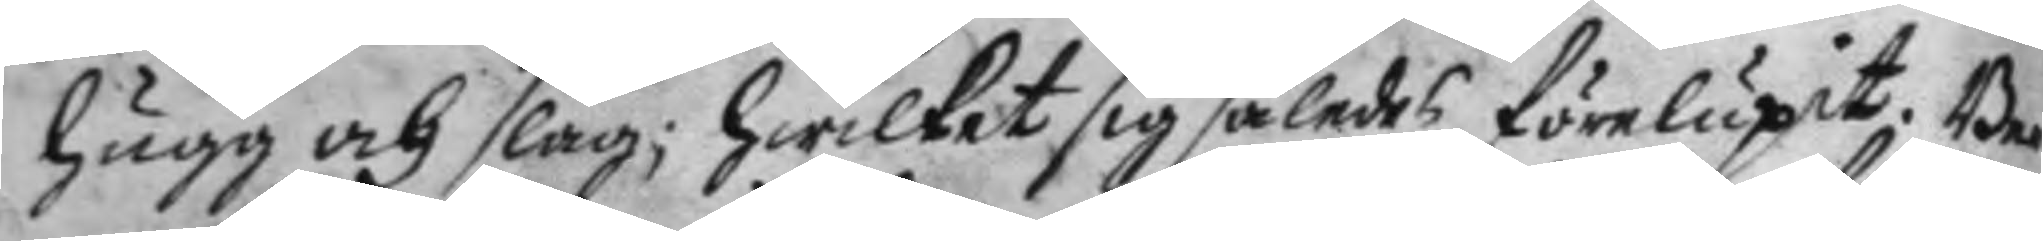hugg och slag; hwilket sig således förelupit. Be¬
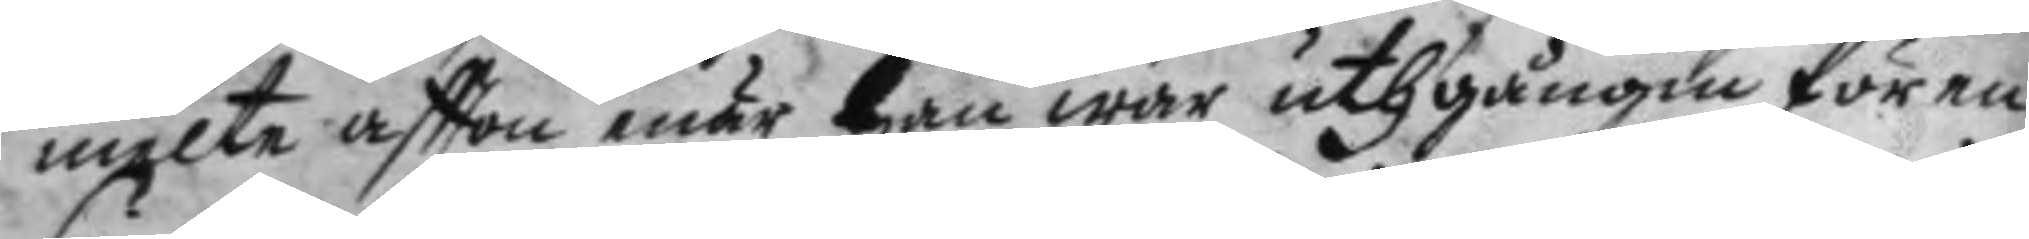melte aftton enär han war uthgången fören
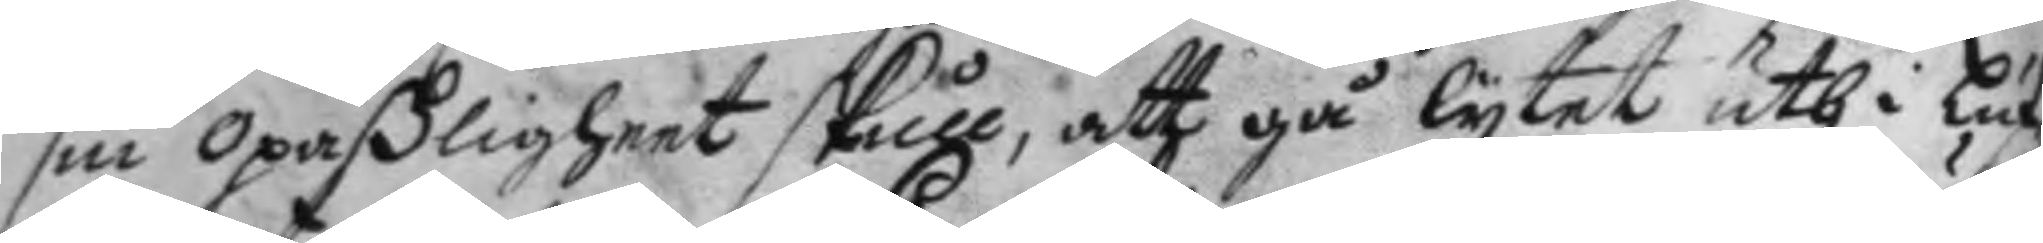sin opaßligheet skulle, att gå lytet uth i Luf¬
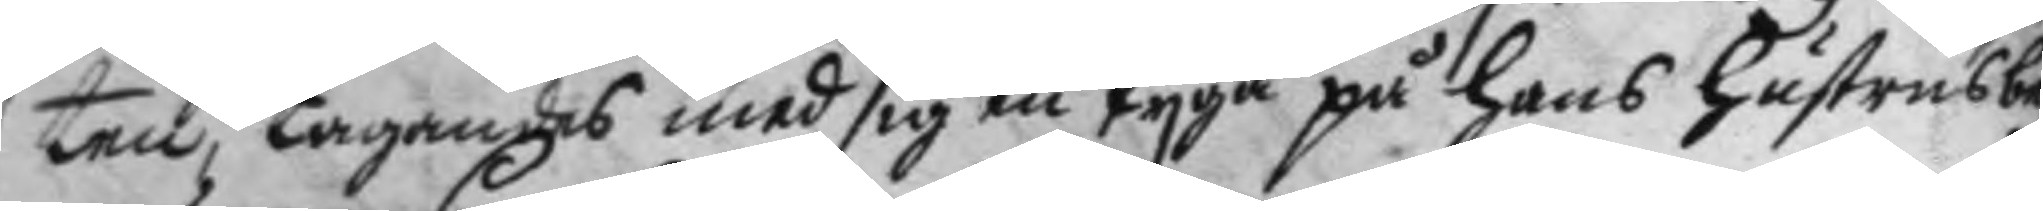ten, tagandes med sig en Pyga på hans hustrus be¬
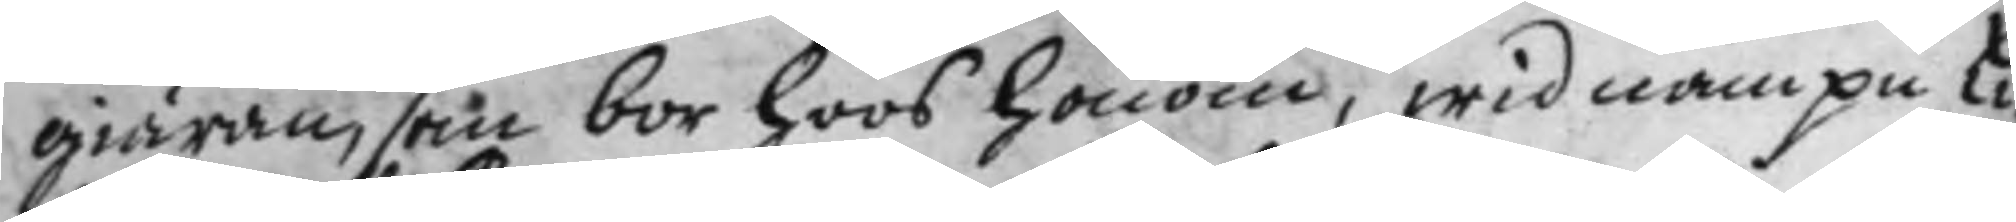giäran, som bor hoos honom, wid nampn Li¬
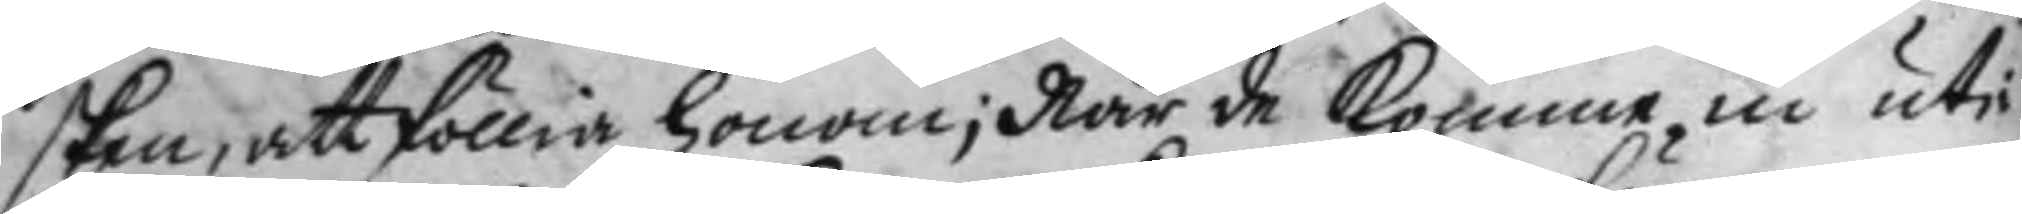sken, att föllia honom; När de komme in uti
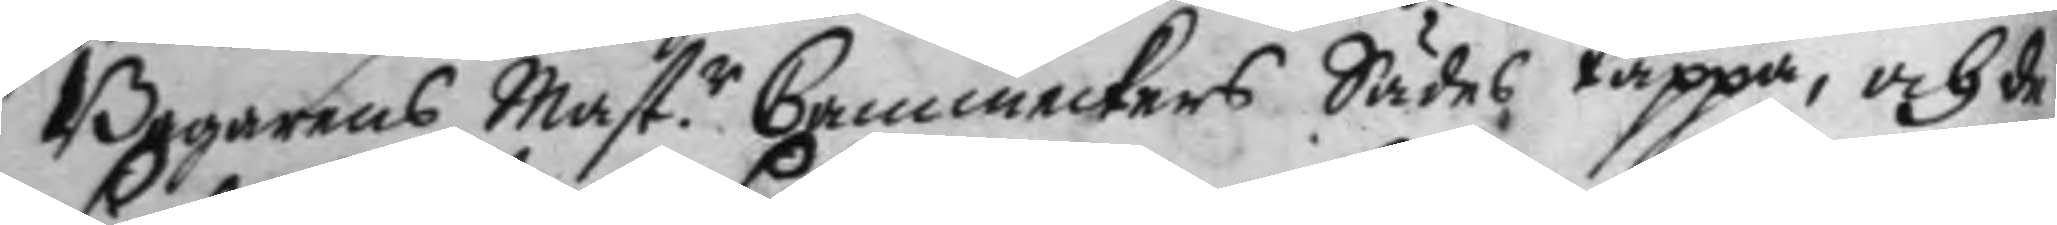Bagarens Mast.r Cammeckers Sädes täppa, och de
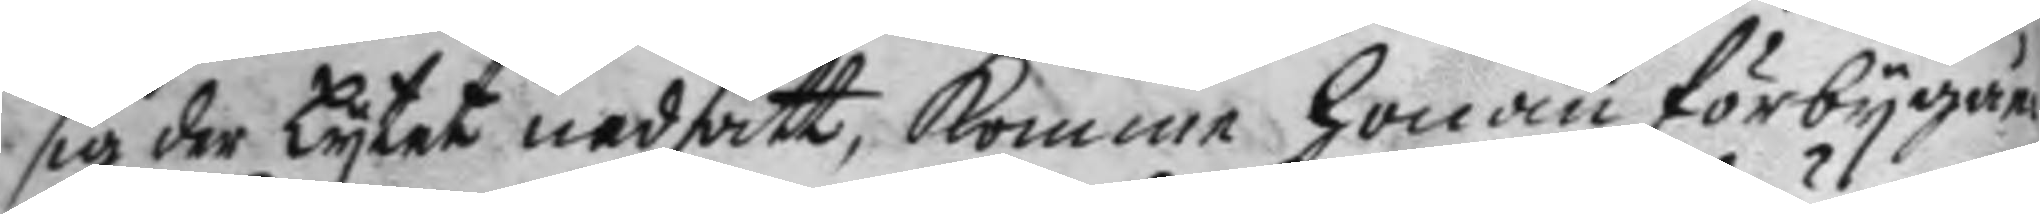sig der Lytet nedsatt, komme honom förbygåen¬
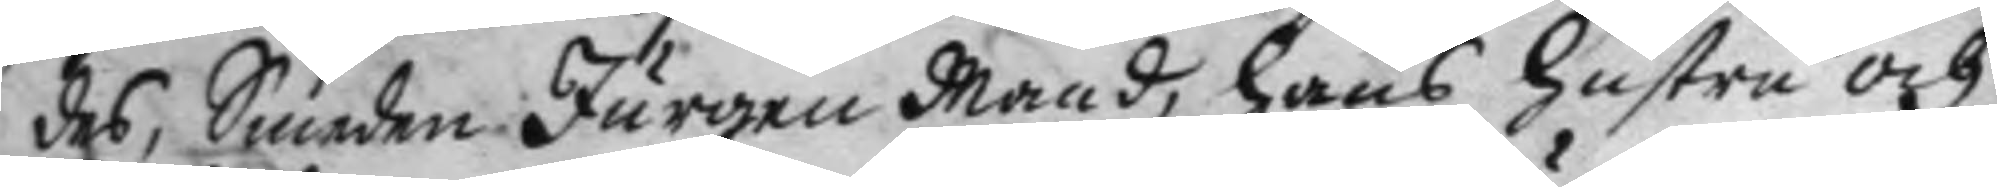des, Smeden Jurgen Mand, hans hustru och
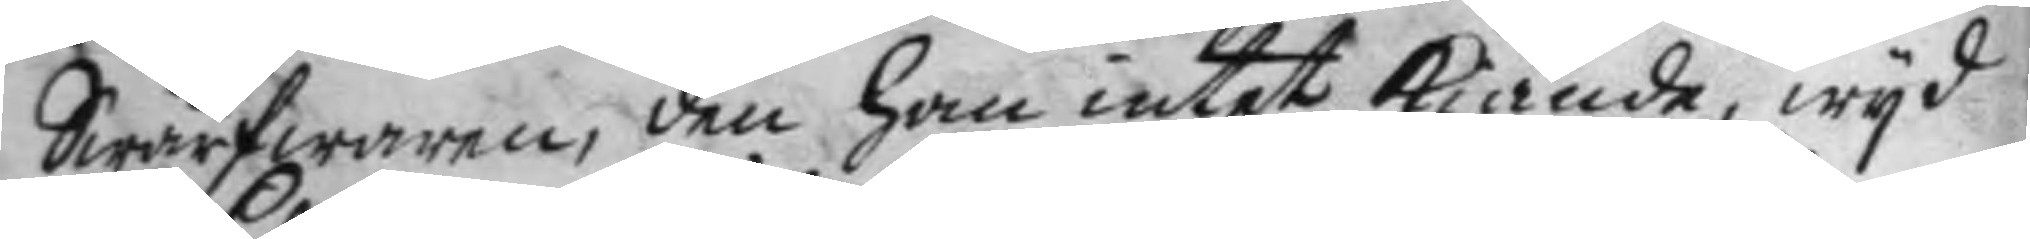Swärfwaren, den han intet kiände, wyd
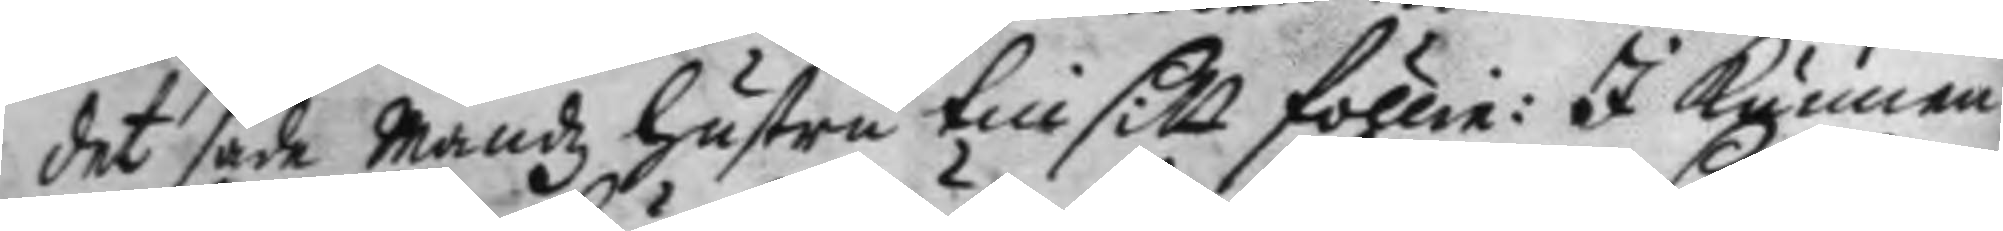det sade Mandz hustru till sitt föllie: I kunnen
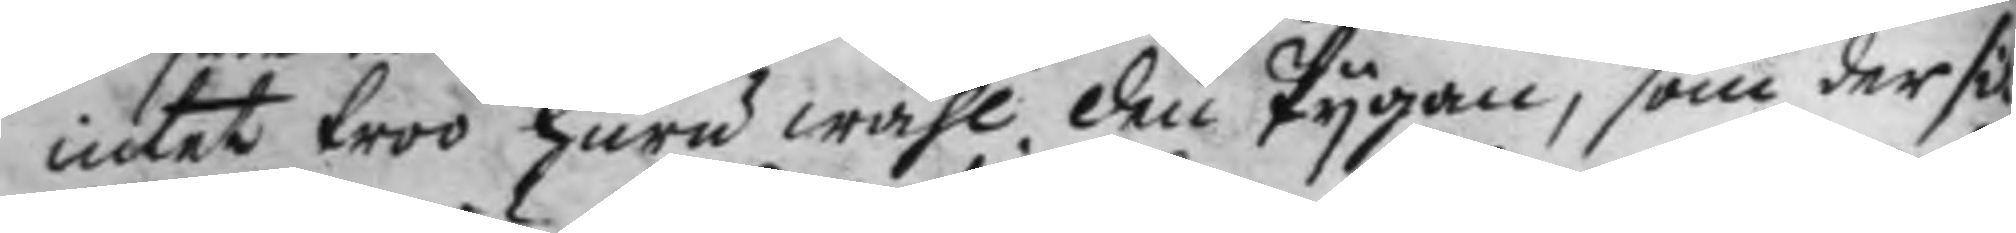intet troo huru wähl den Pygan, som der si¬
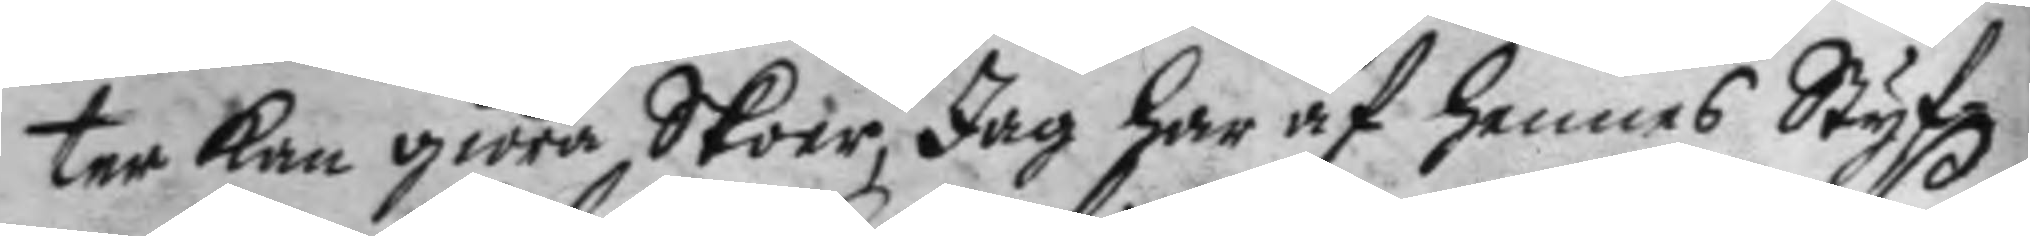ter kan giöra Skoer, Jag har af hennes Styf¬
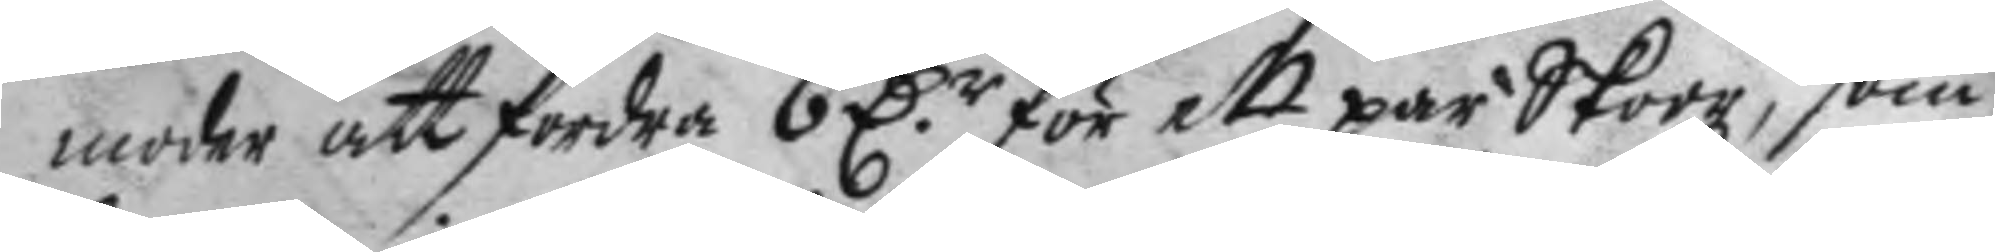moder att fordra 6 D.r för ett par Skor, som
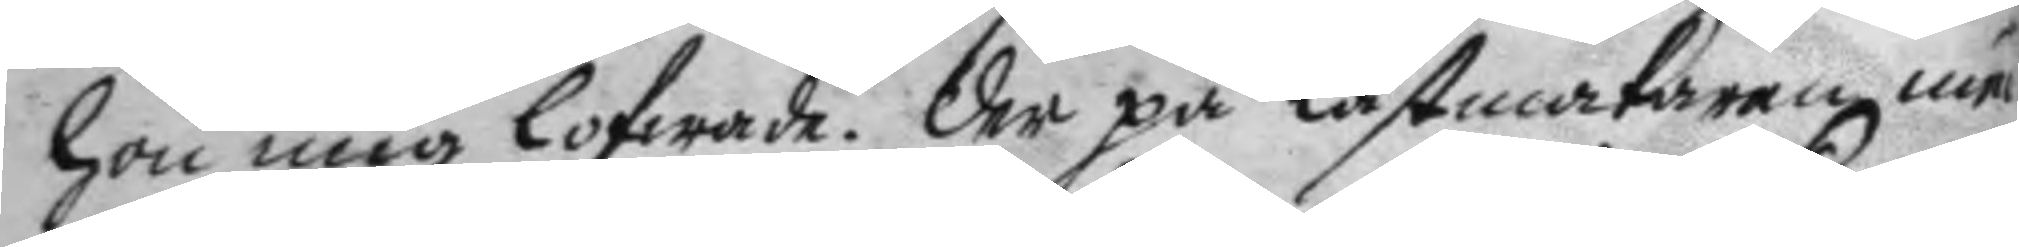hon mig lofwade. der på Lästmakaren nu
